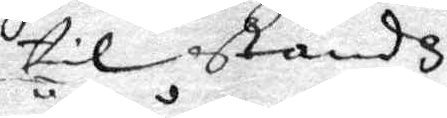til ståndz
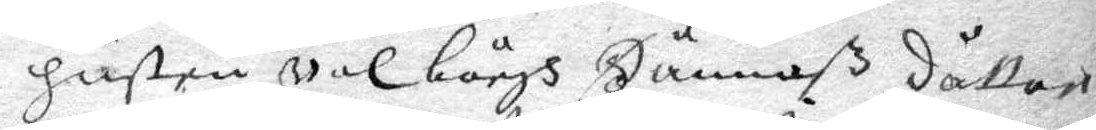hustru wal börgh Hännaß dåttre
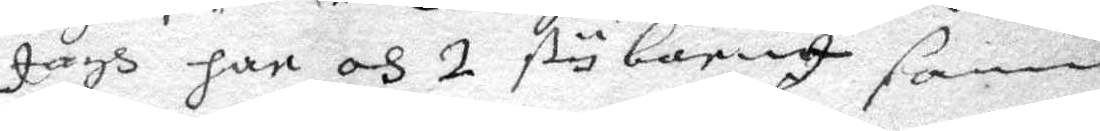Jagh har oh 2 sty barn I sama
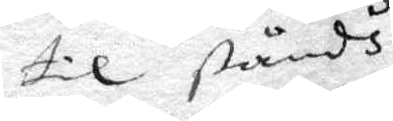til ståndh
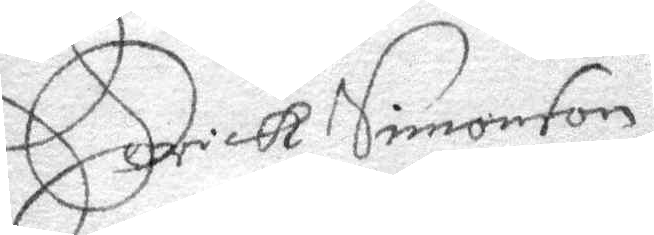Erick Simonson
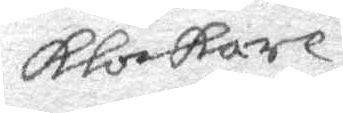Klockare.
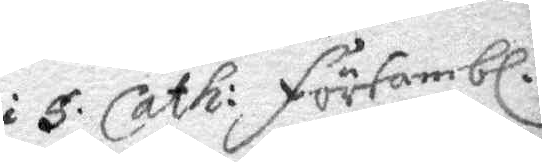i S. Cath. försambl.
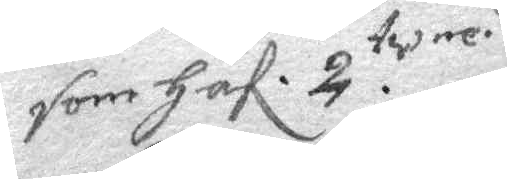som Haf. 2. twen.
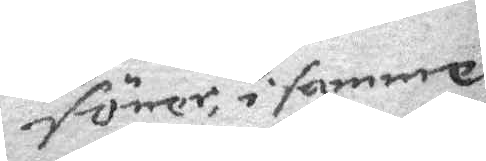söner, i samme
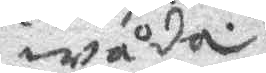wåda.
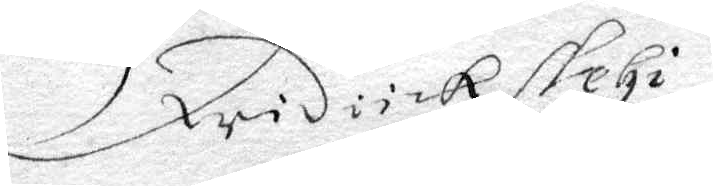Fridrick stehi
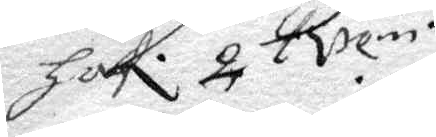haf. 2 Brem.
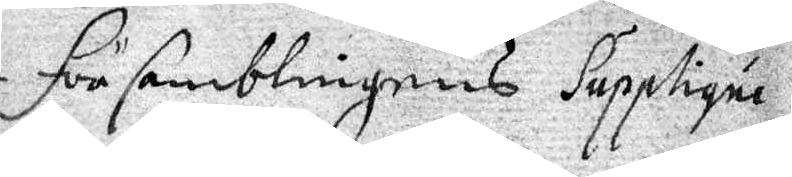för samblingens Supplique
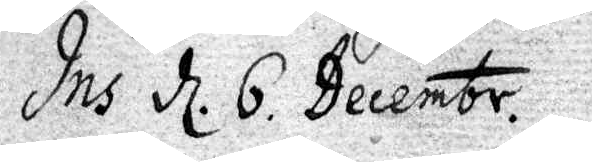Ins d 6 Decembr.
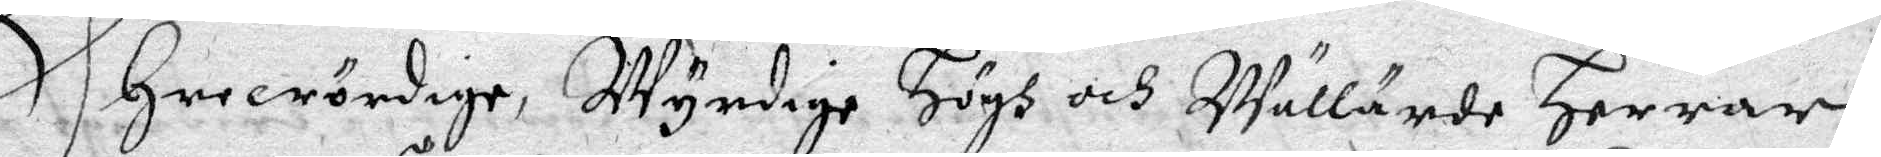Ehrewördige, Wyrdige Högh och Wällärde Herrar
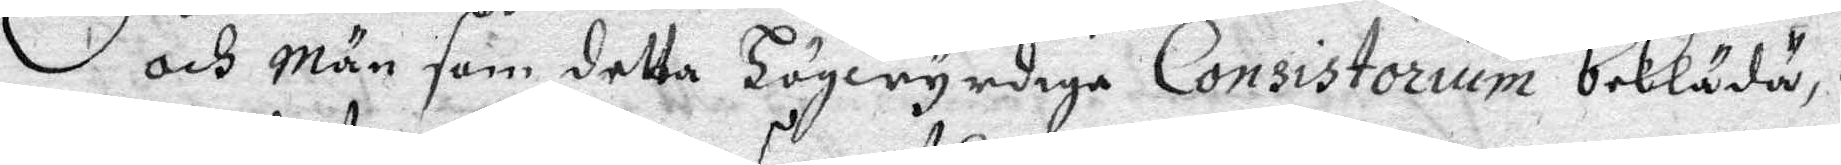och Män som detta Högwyrdige Consistorium bekläda,
